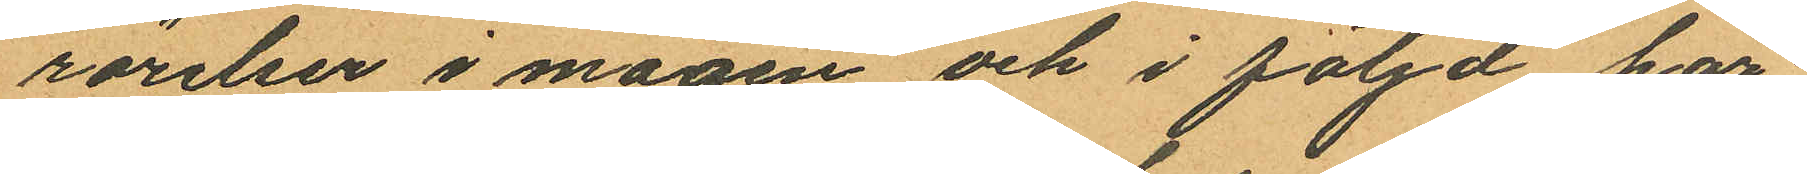rörelser i magen och i följd här¬
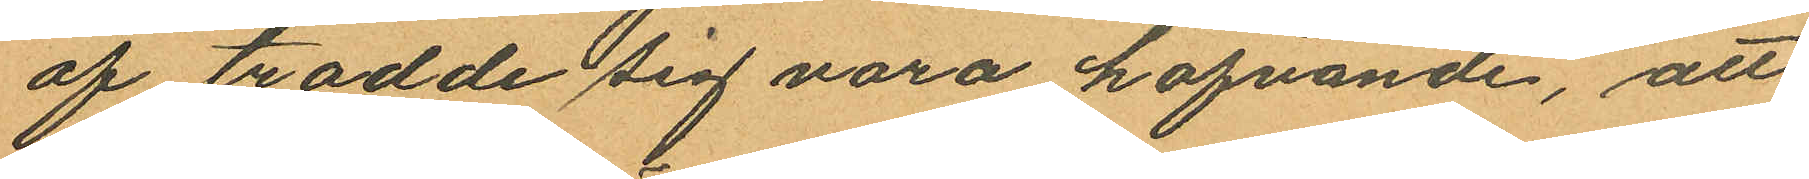af trodde sig vara hafvande, att
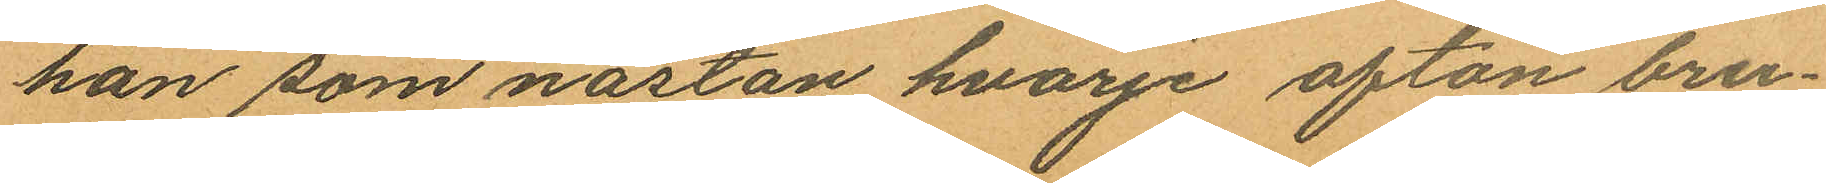han som nästan hvarje afton bru¬
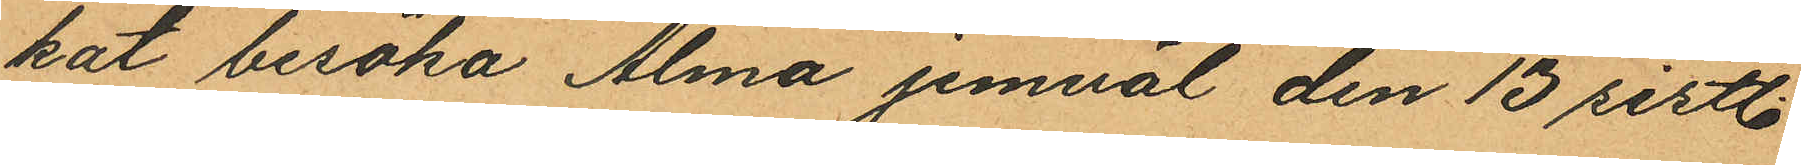kat besöka Alma jemväl den 13 sistl.
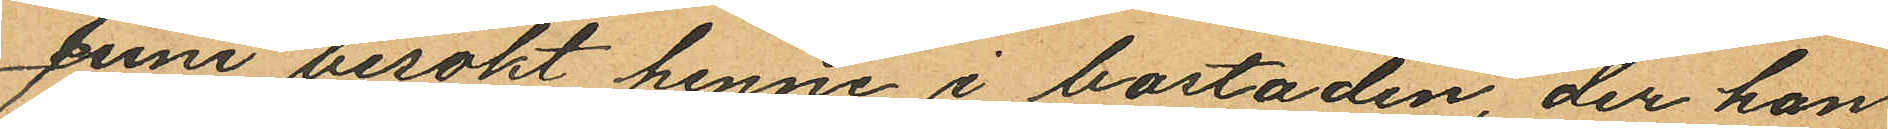Juni besökt henne i bostaden, der han
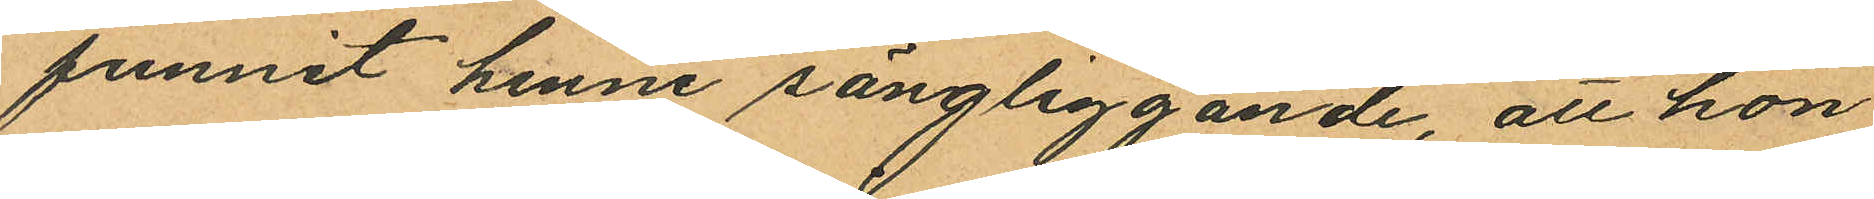funnit henne sängliggande, att hon
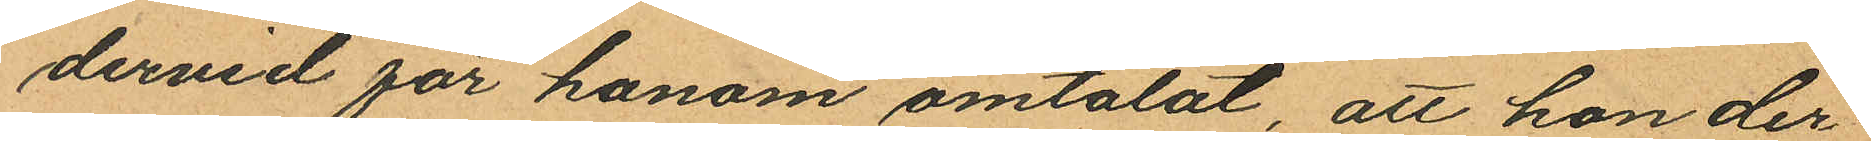dervid för honom omtalat, att hon der¬
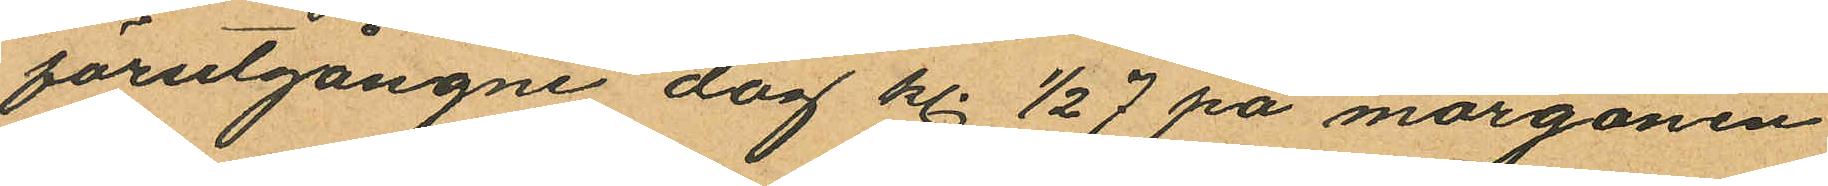förutgångne dag kl. ½ 7 på morgonen
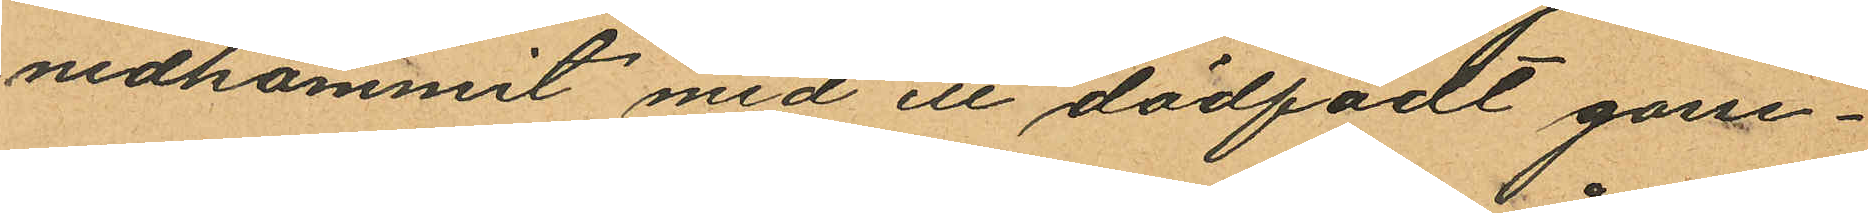nedkommit med ett dödfadt gosse¬
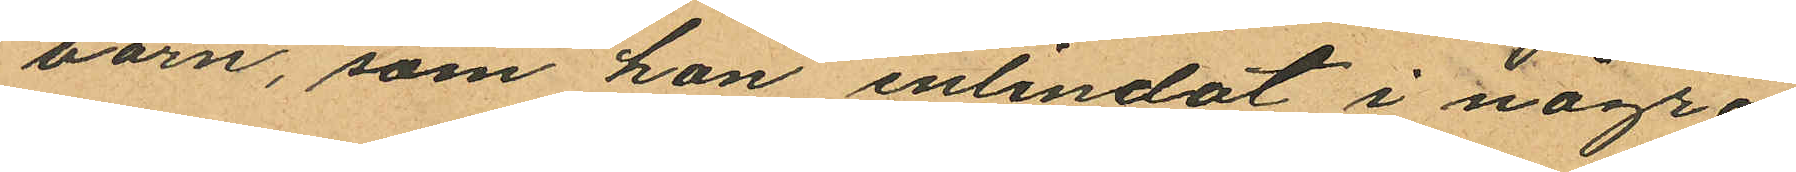barn, som hon inlindat i några
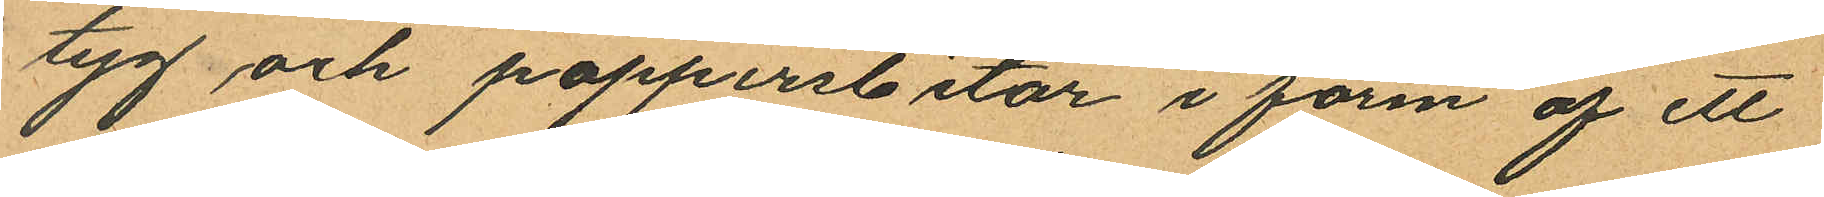tyg och pappersbitar i form af ett
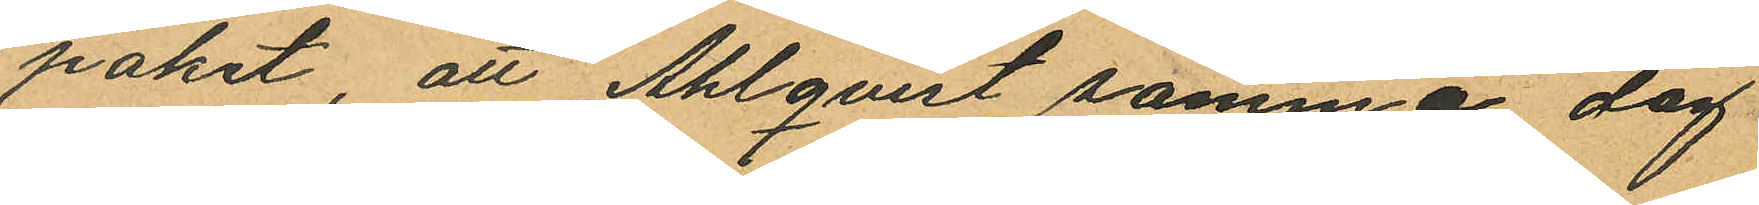paket, att Ahlqvist samma dag
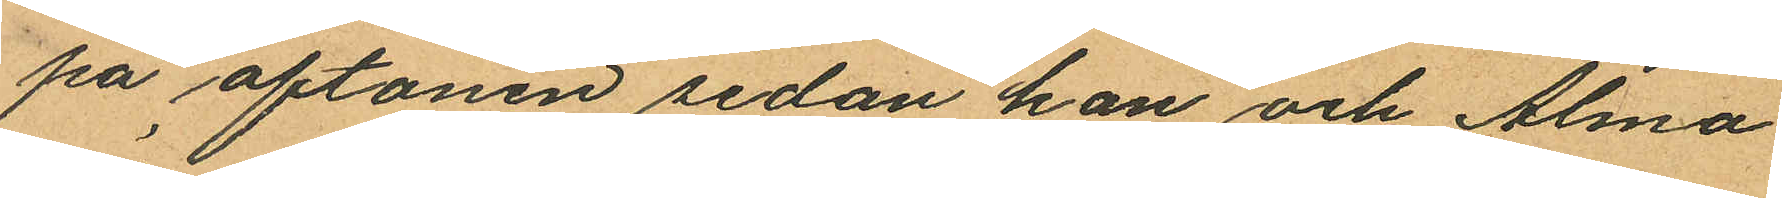på aftonen sedan han och Alma
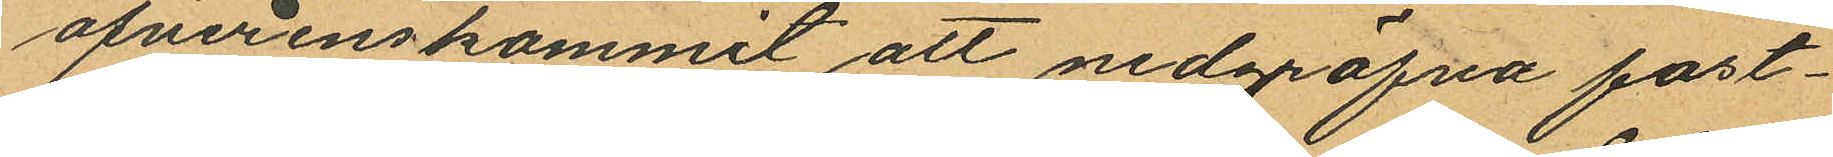öfverenskommit att nedgräfva fost¬
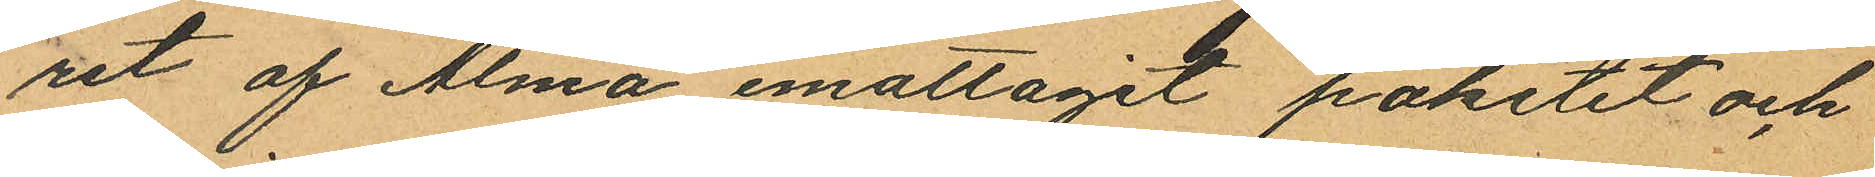ret af Alma emottagit paketet och
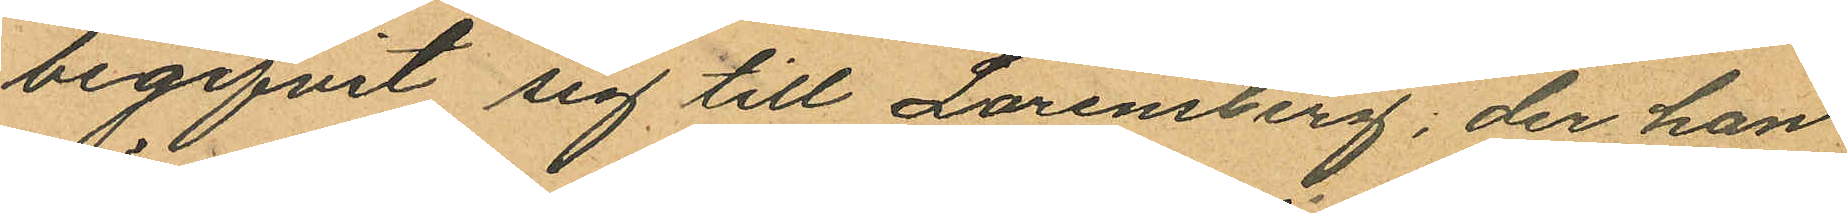begifvit sig till Lorensberg; der han
